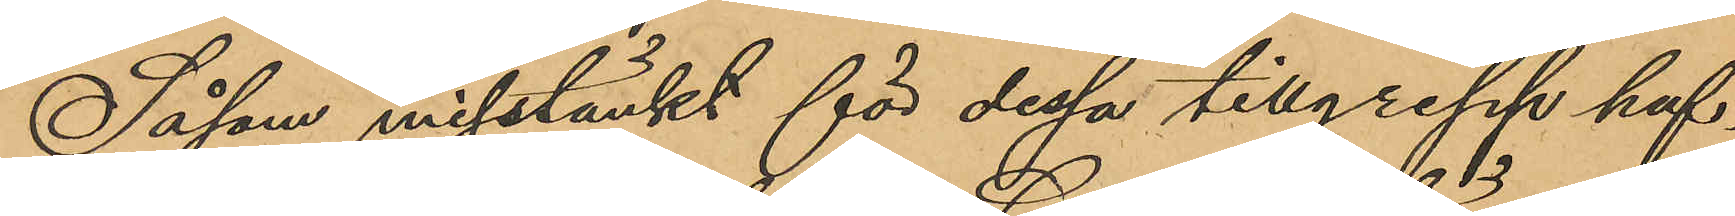Såsom misstänkt för dessa tillgrepp haf¬
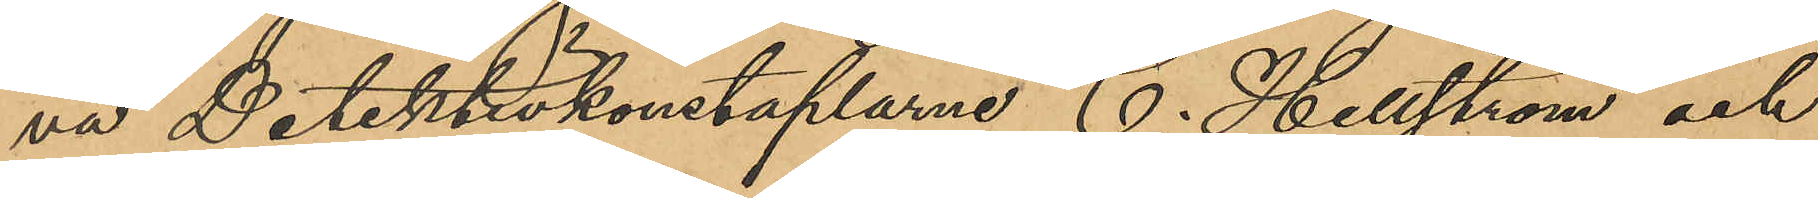va Detektivkonstaplarne C. Hellström och
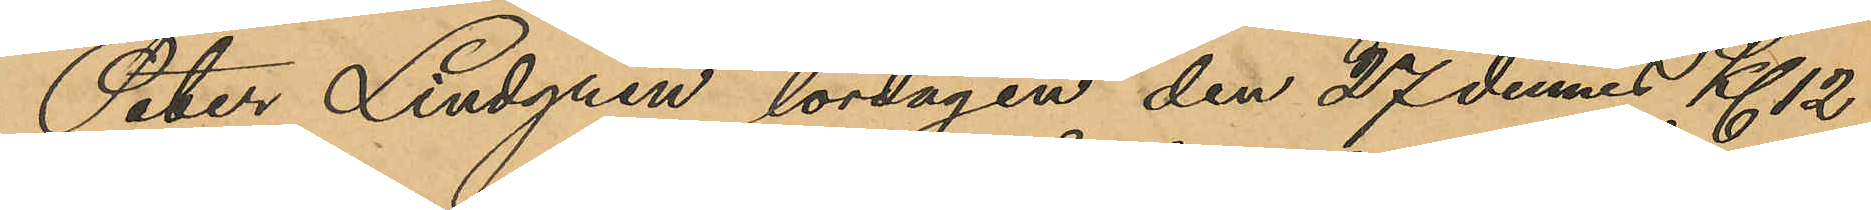Peter Lindgren lördagen den 27 dennes Kl 12
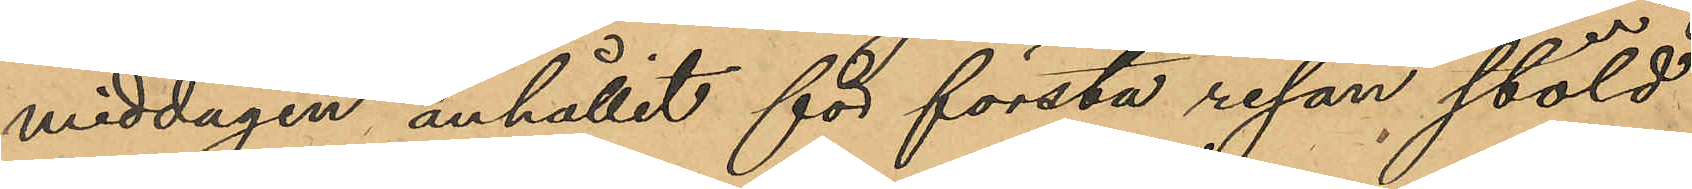middagen anhållit för första resan stöld
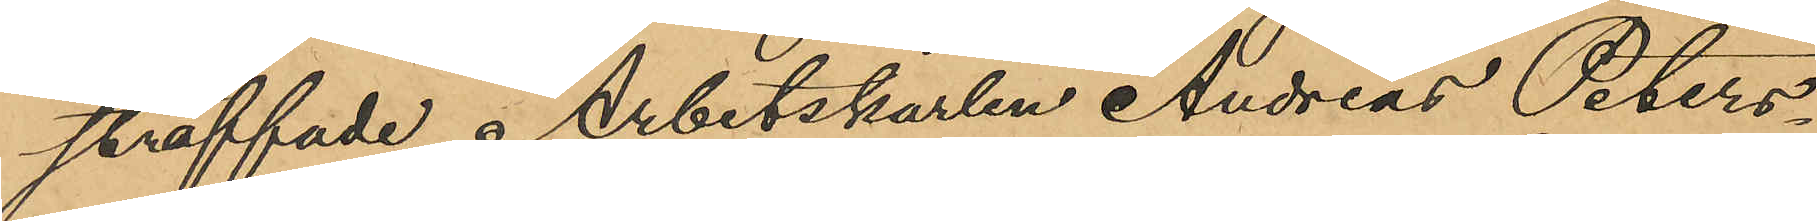straffade Arbetskarlen Andreas Peters¬
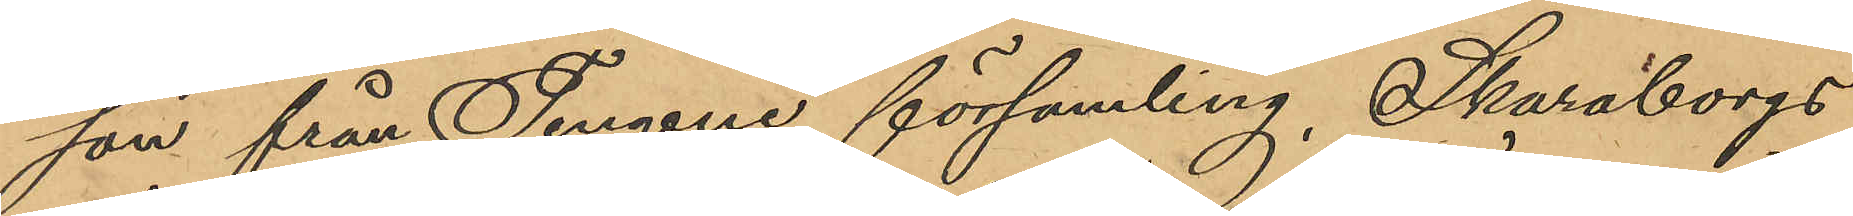son från Tengene församling, Skaraborgs
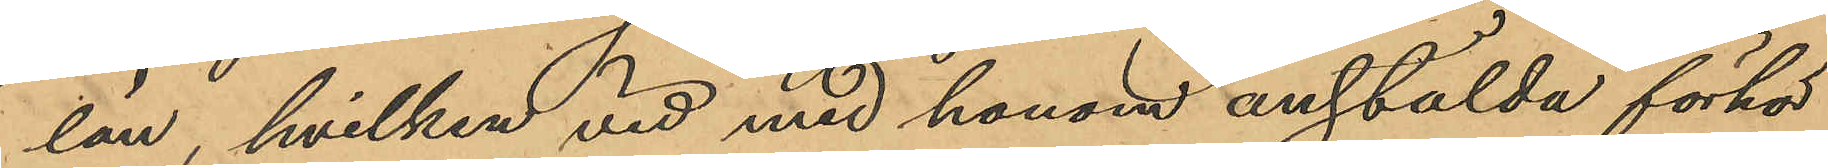län, hvilken vid med honom anstälda förhör
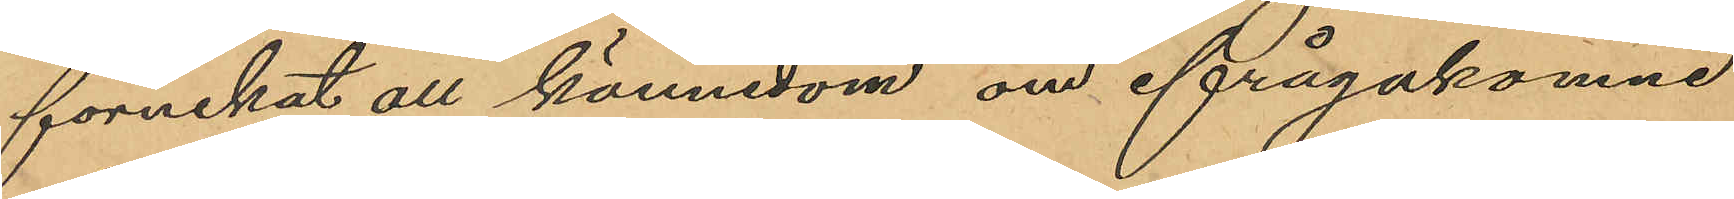förnekat all kännedom om ifrågakomne
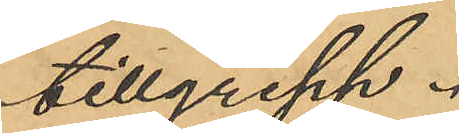tillgrepp.
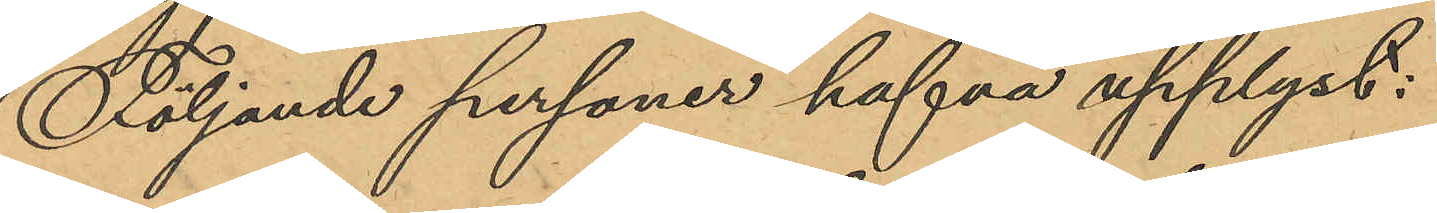Följande personer hafva upplyst:
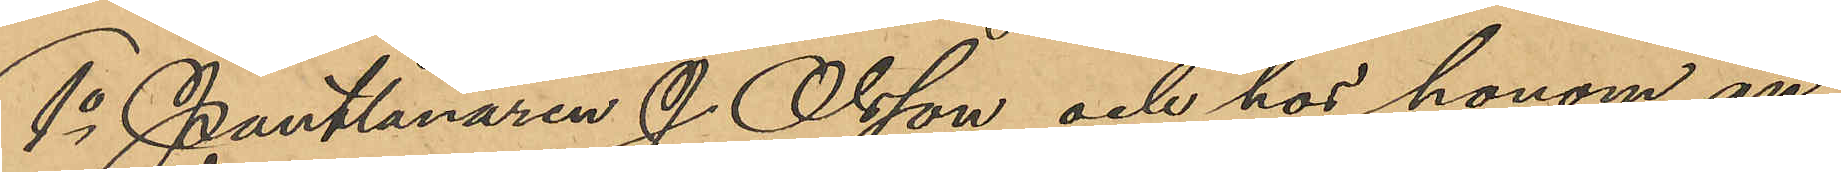1o Pantlånaren J. Olsson och hos honom an¬
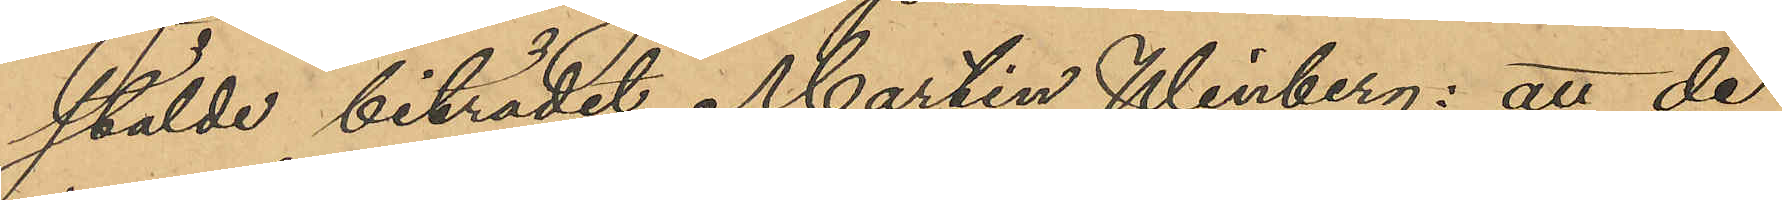stälde biträdet Martin Winberg: att de
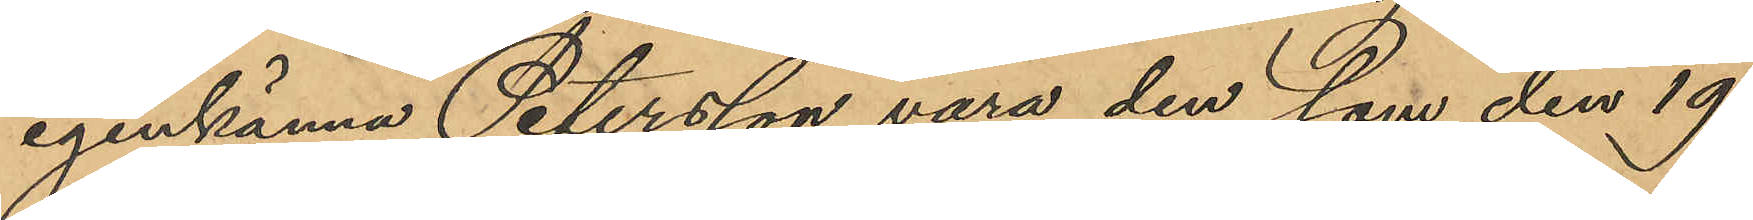igenkänna Petersson vara den, som den 19
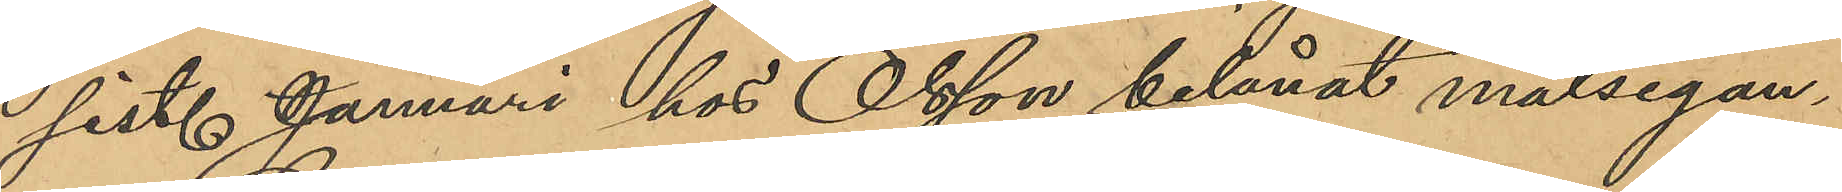sist. Januari hos Olsson belånat målsegan¬
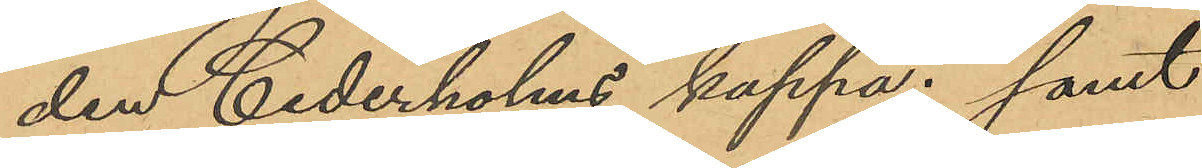den Cederholms kappa; samt
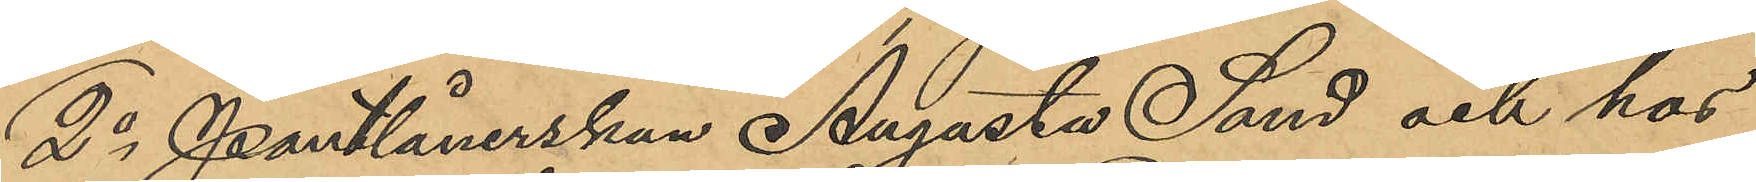2o Pantlånerskan Augusta Sand och hos
